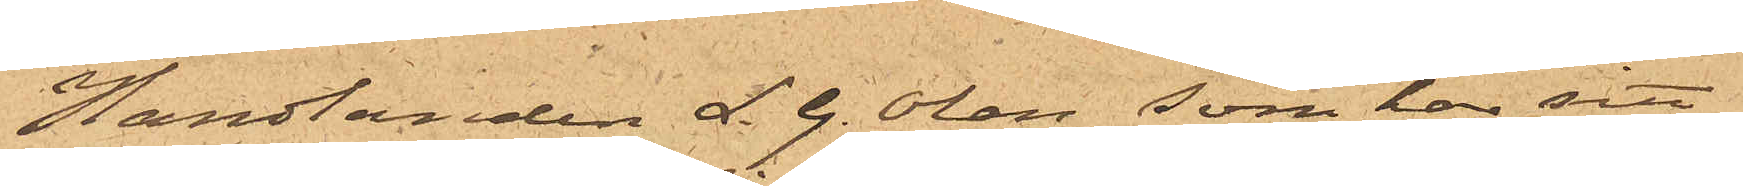Handlanden L. G. Olán, som har sitt
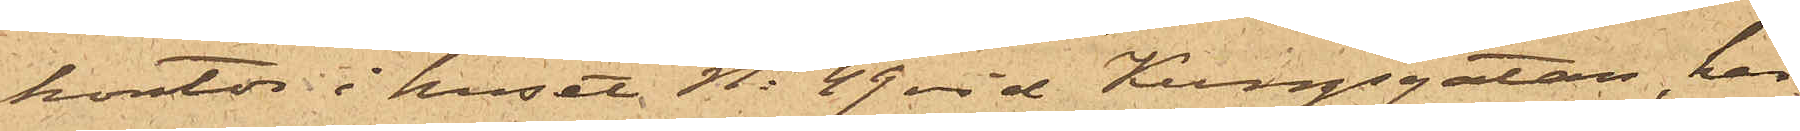kontor i huset No 49 vid Kungsgatan, har
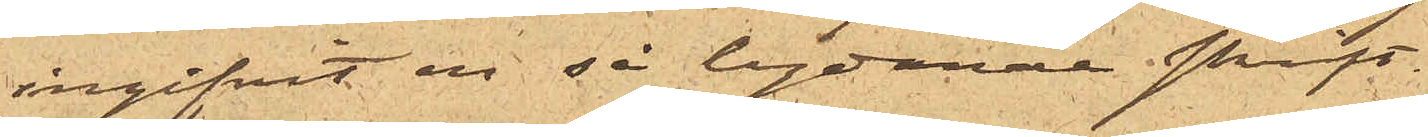ingifvit en så lydande skrift.
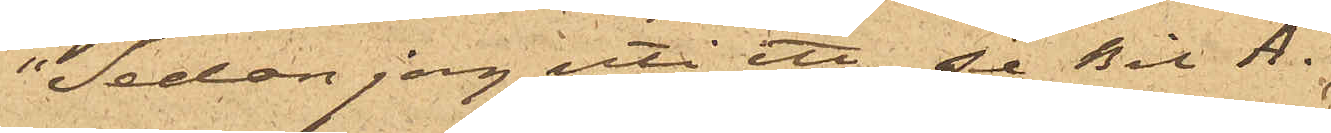"Sedan jag uti ett se Bil A.
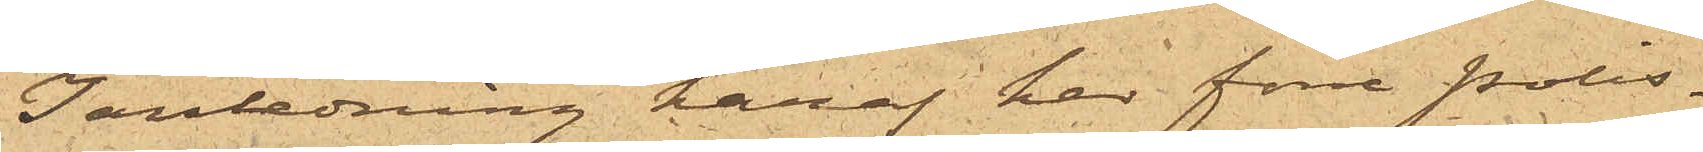I anledning häraf har förre polis¬
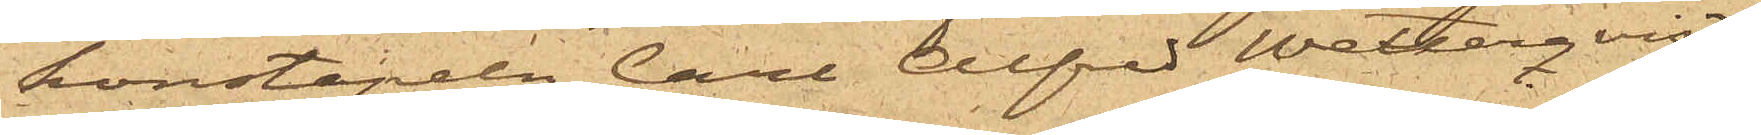konstapeln Carl Alfred Wetterqvist
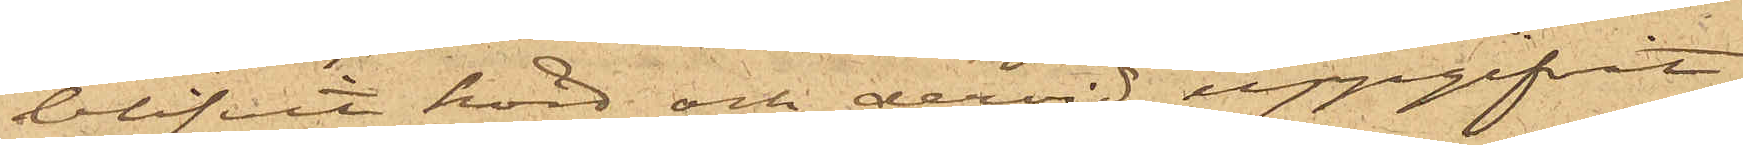blifvit hörd och dervid uppgifvit,
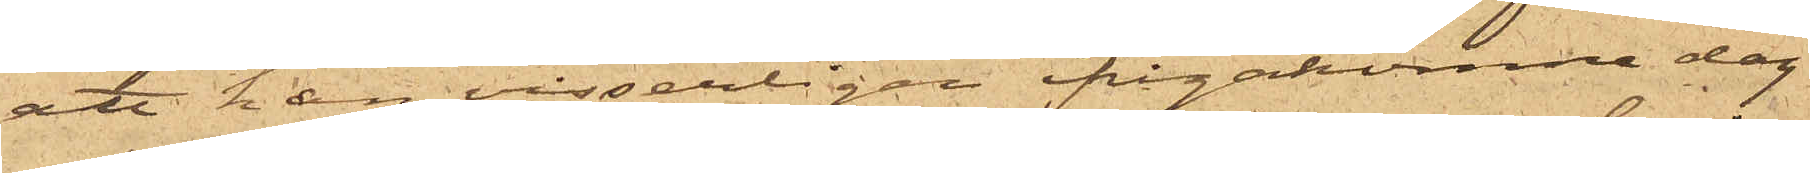att han visserligan ifrågakomne dag
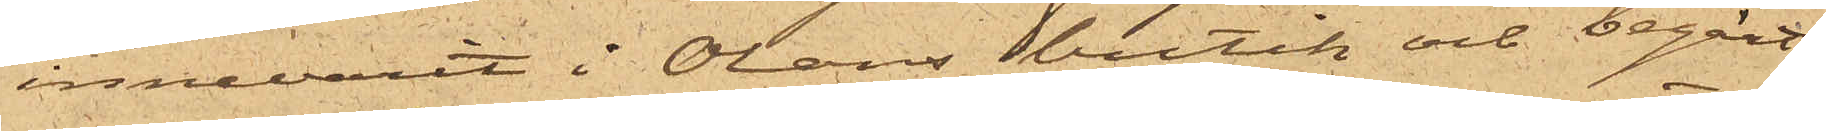innevarit i Oláns butik och begärt
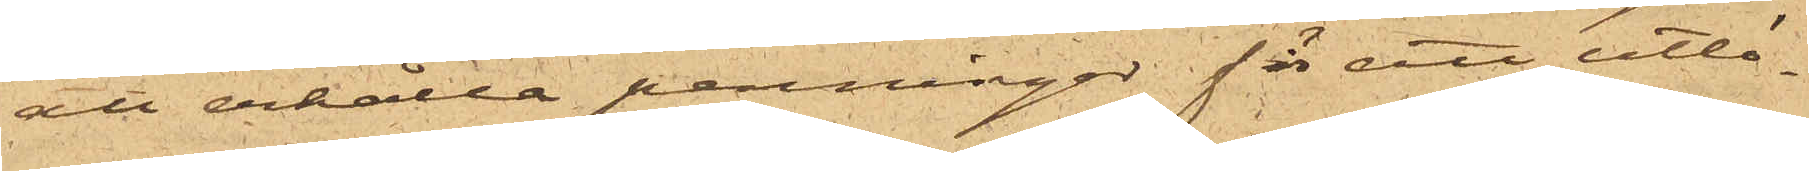att erhålla penningar för att utlö¬
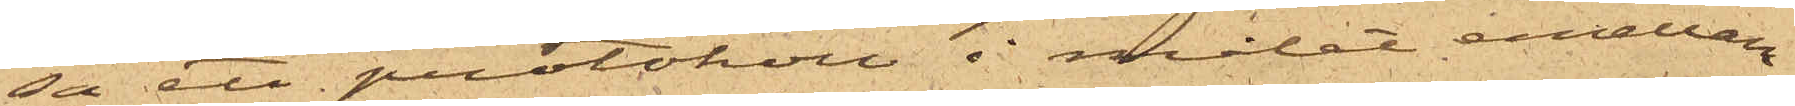sa ett protokoll i målet emellan
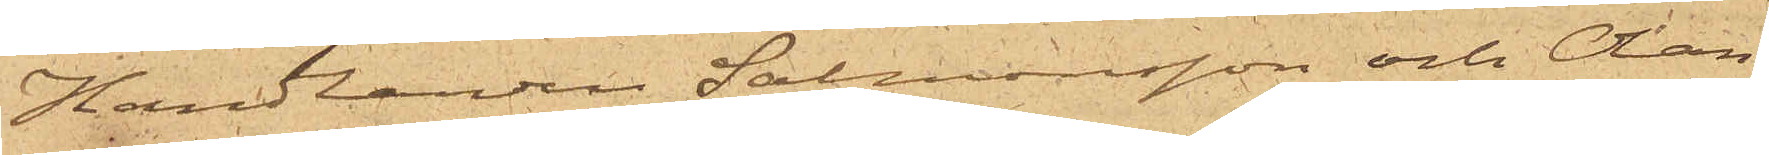Handlanden Salmonsson och Olán,
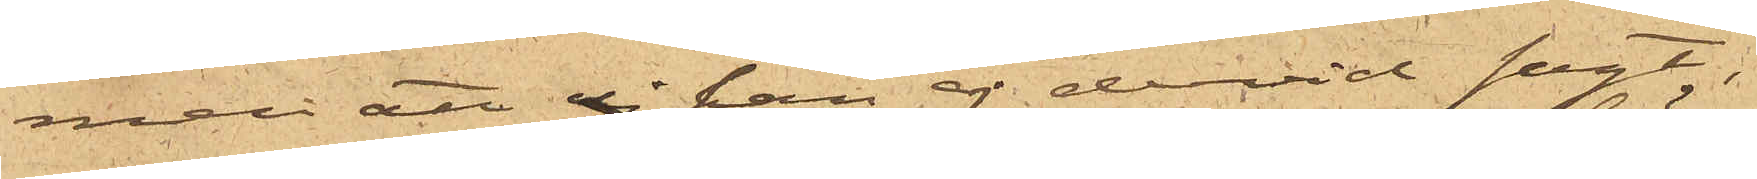men att ej han ej dervid sagt,
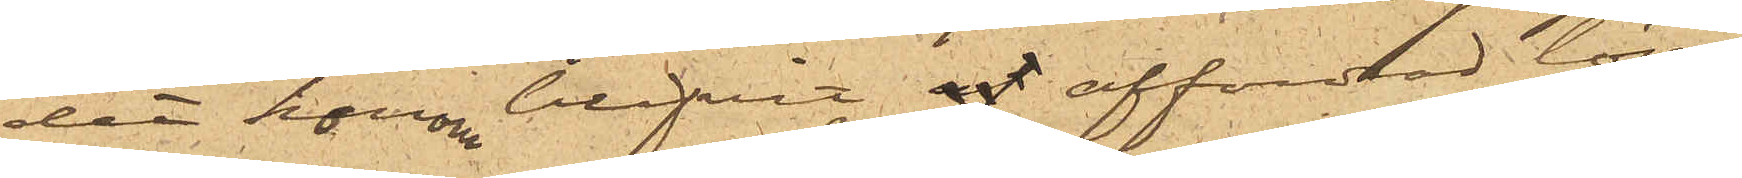det honom blifvit af affordrad lösen
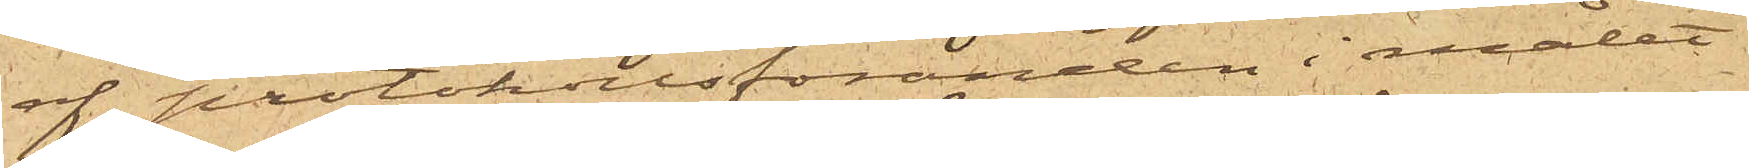af protokollföraren i målet
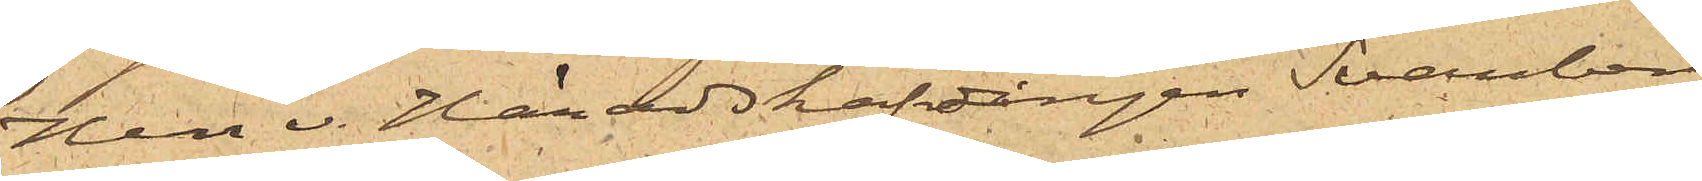Herr v. Häradshöfdingen Svanberg,
